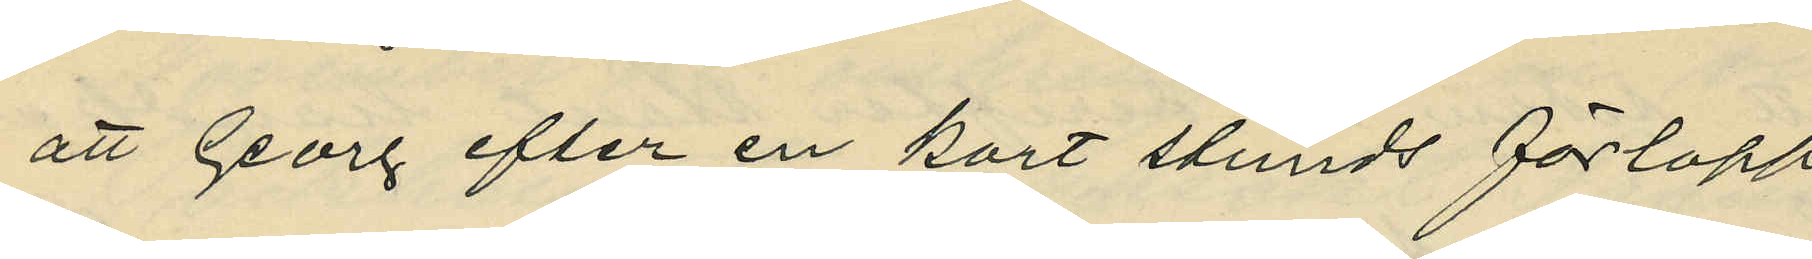att Georg efter en kort stunds förlopp
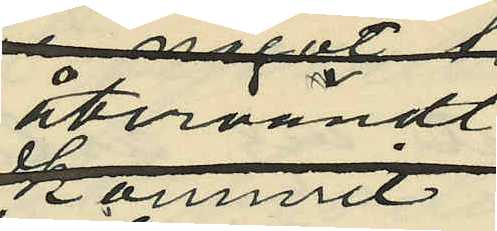återvändt
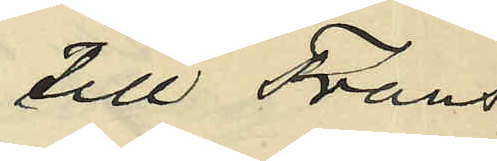till Frans,
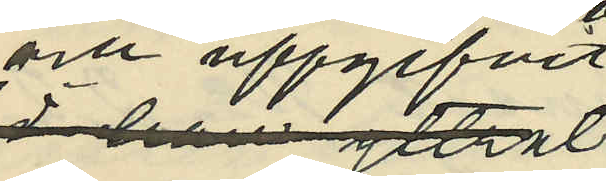och uppgifvit
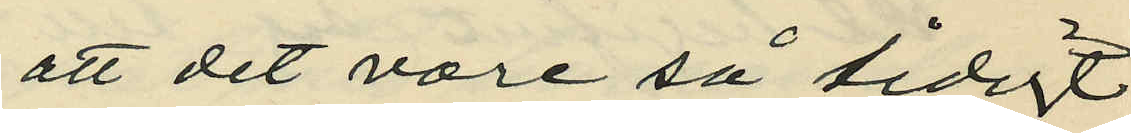att det vore så tidigt
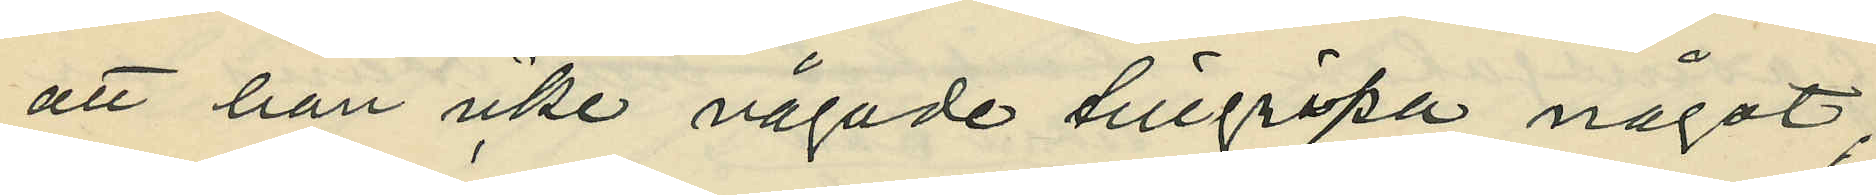att han icke vågade tillgripa något;
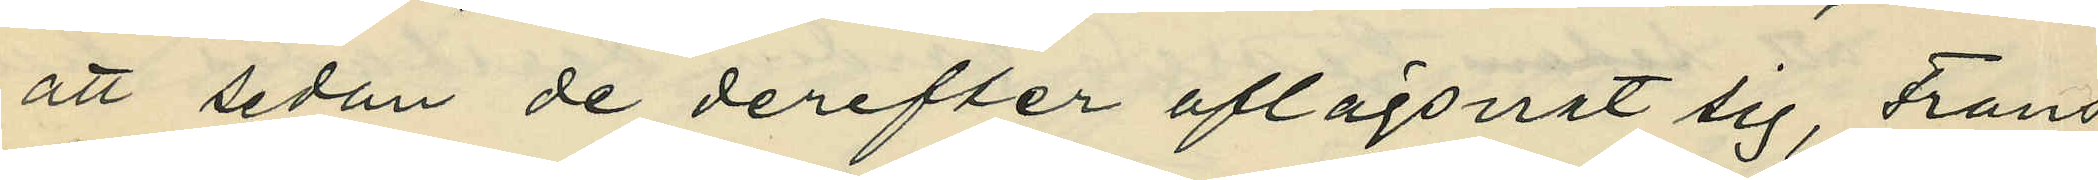att sedan de derefter aflägsnat sig, Frans
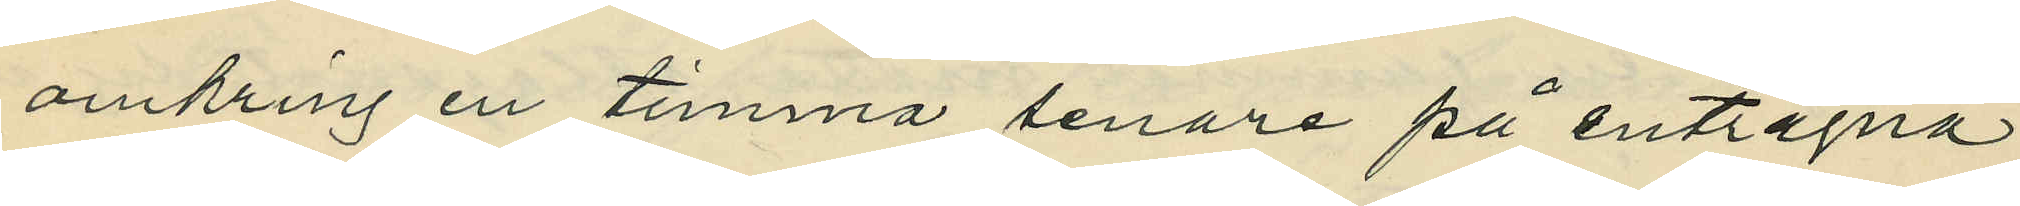omkring en timma senare på enträgna
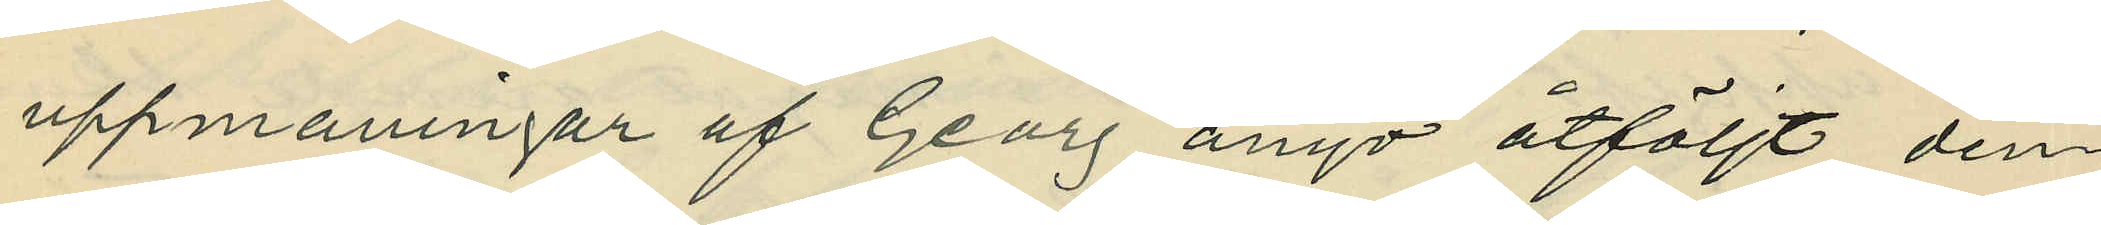uppmaningar af Georg ånyo åtföljt den¬
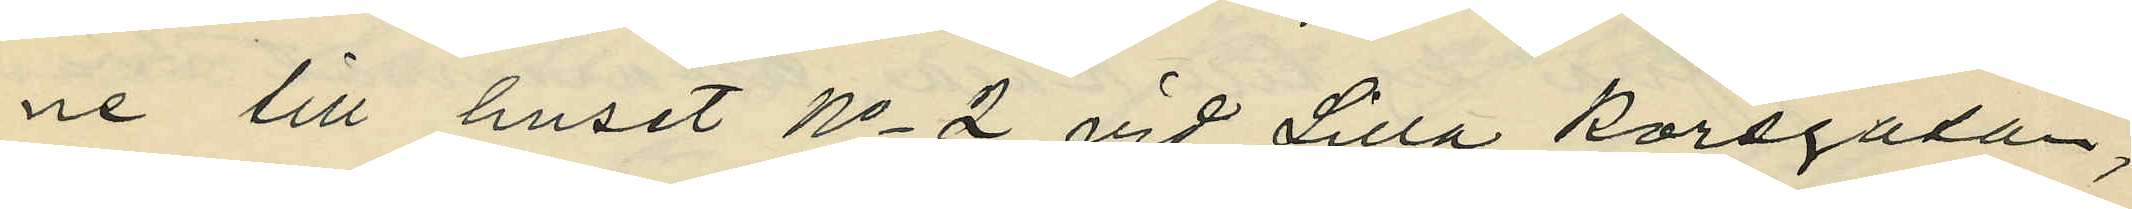ne till huset No 2 vid Lilla Korsgatan;
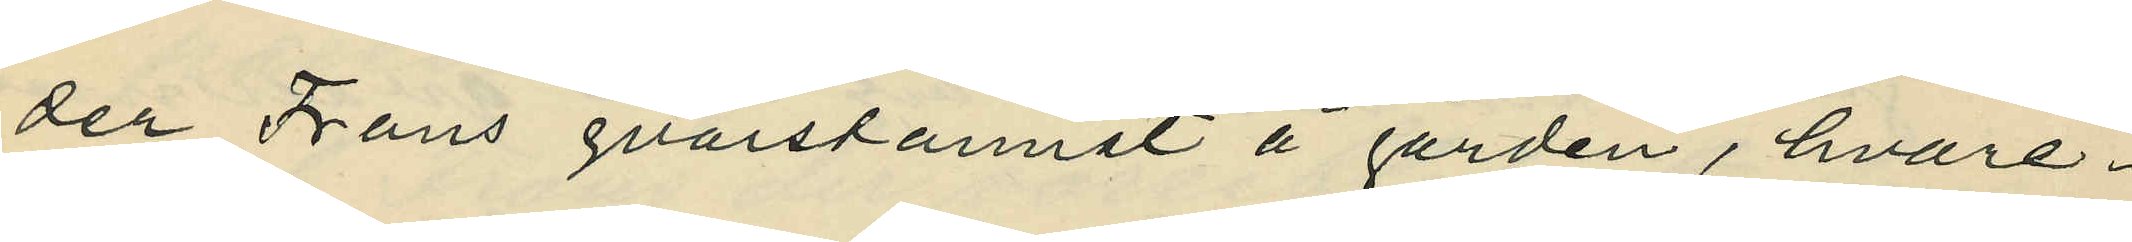der Frans qvarstannat å gården, hvare¬
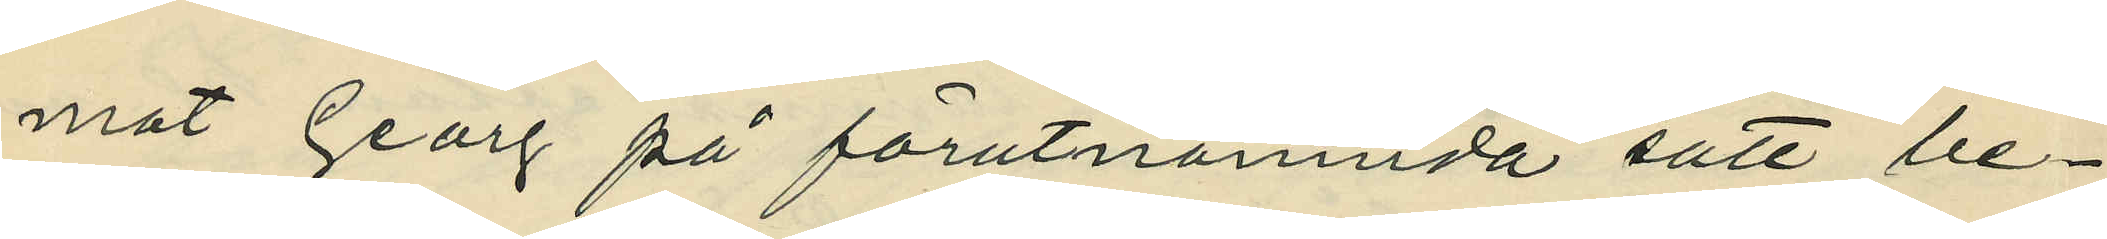mot Georg på förutnämnda sätt be¬
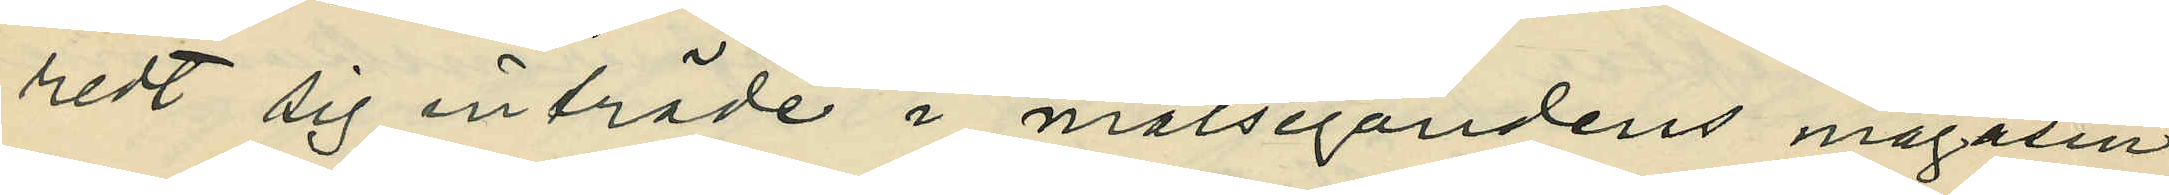redt sig inträde i målsegandens magasin;
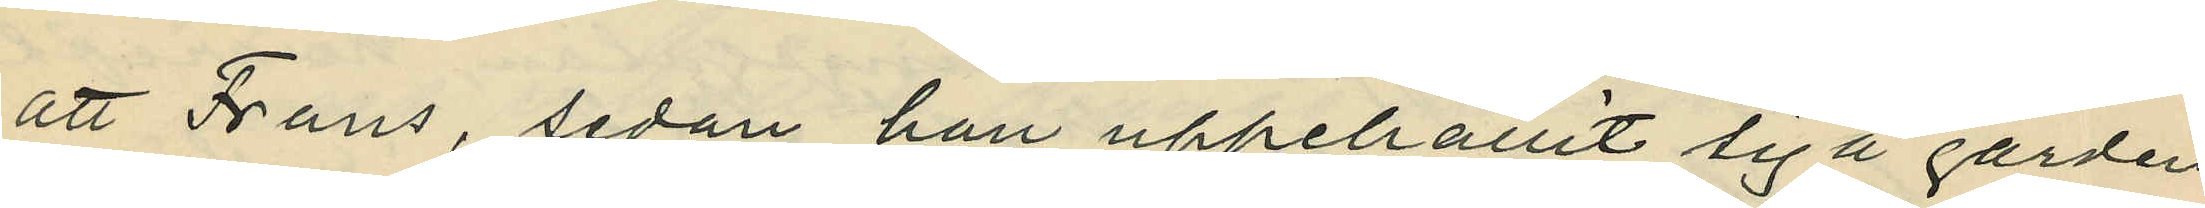att Frans, sedan han uppehållit sig å gården
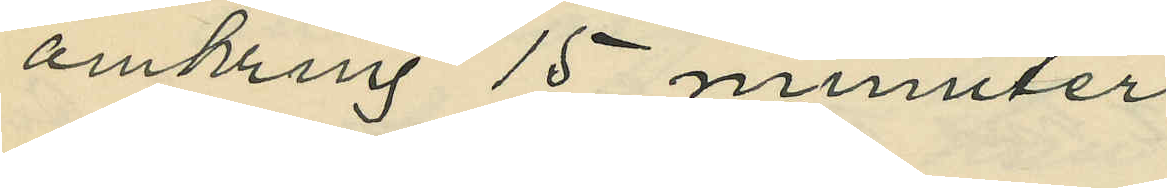omkring 15 minuter
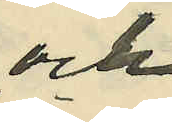och
